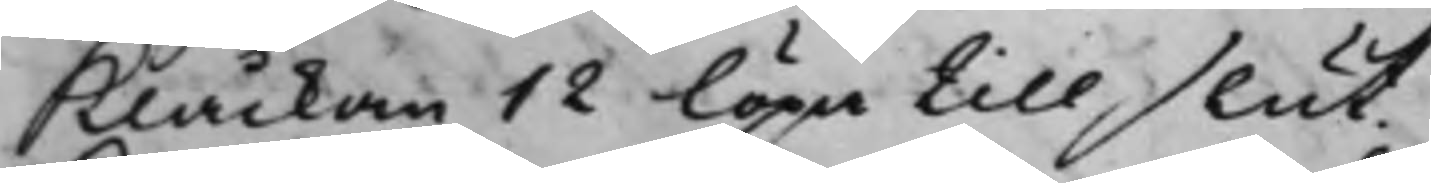Klåckan 12 löpa till slut.
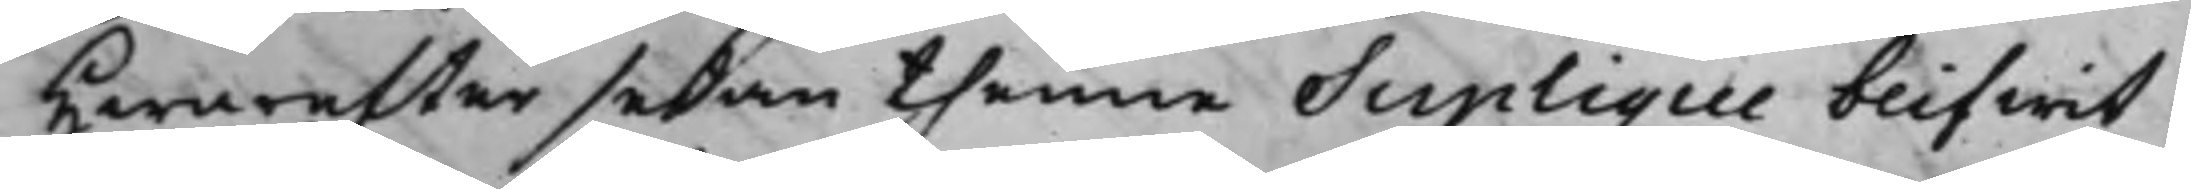Hwareffter sedan thenne Suplique blifwit
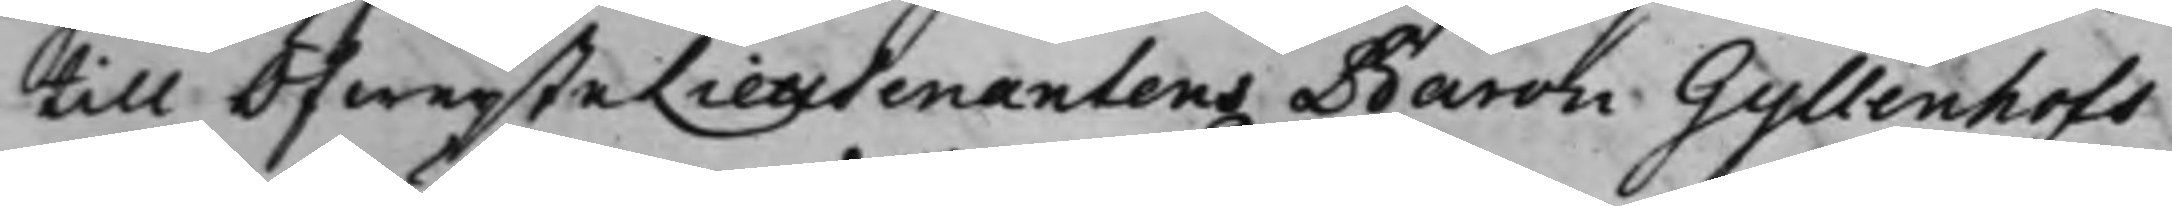till ÖfwersteLieutenantens Baron Gyllenhofs
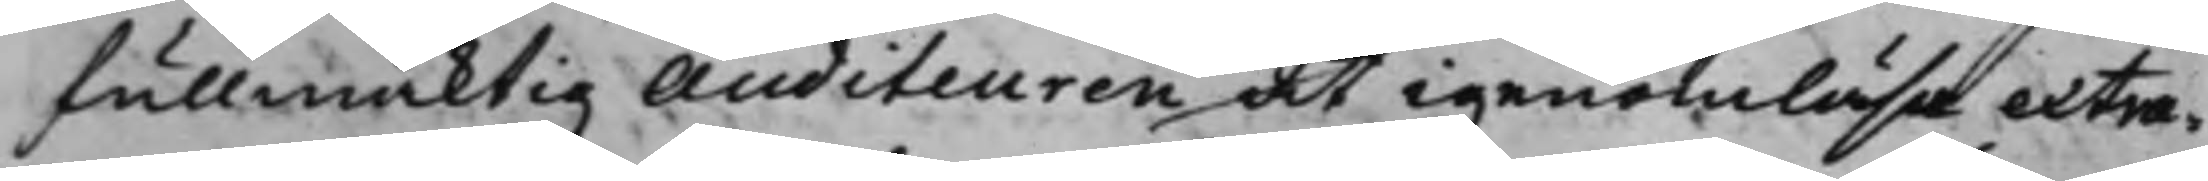fullmäcktig Auditeuren at igenomläsa extra¬
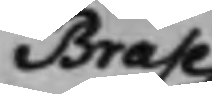Brahe
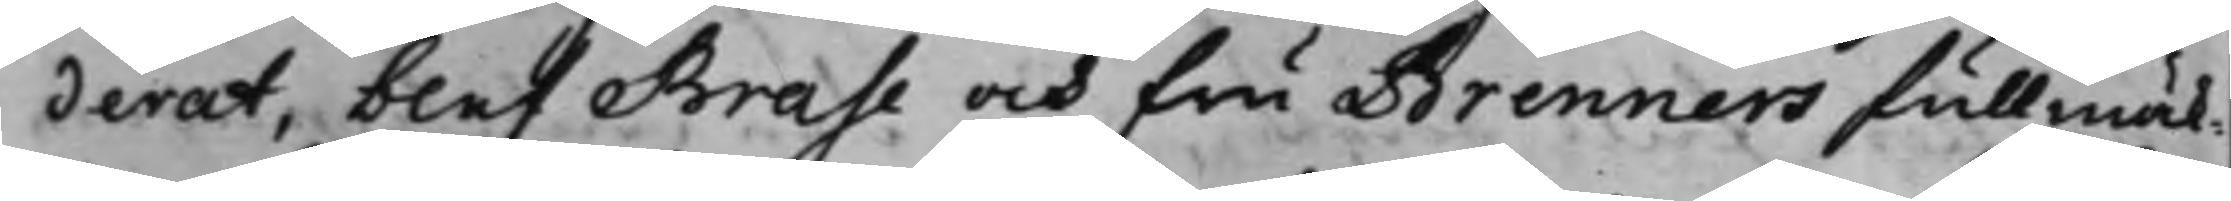derat, blef Brahe och fru Brenners Fullmäk¬
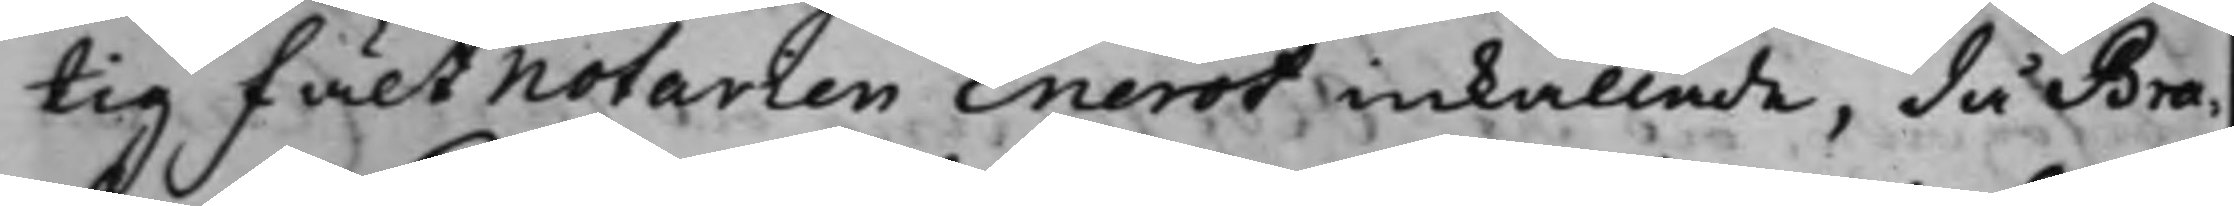tig Fältnotarien Enerot inkallade, då Bra¬
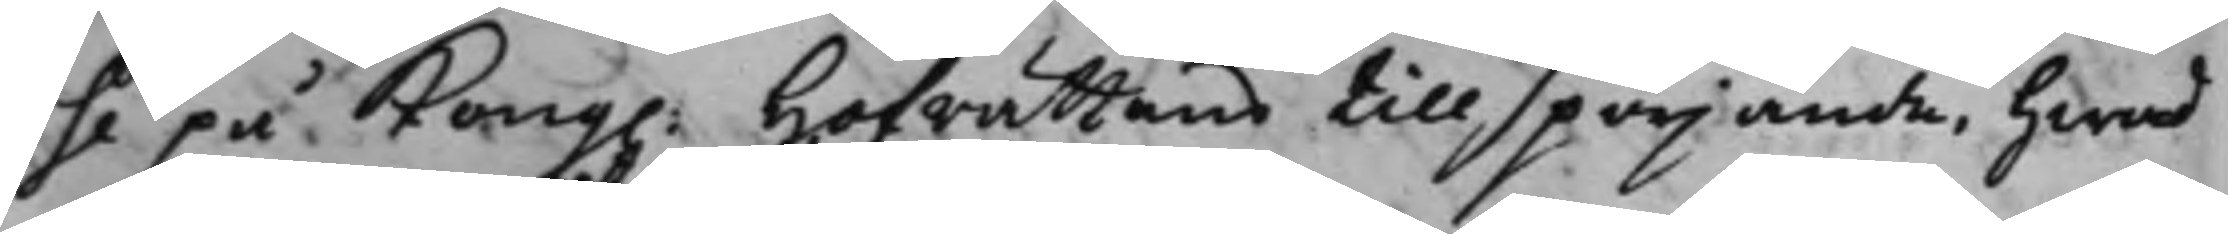he på Kong. Hoffrättens tillspörjande, hwad
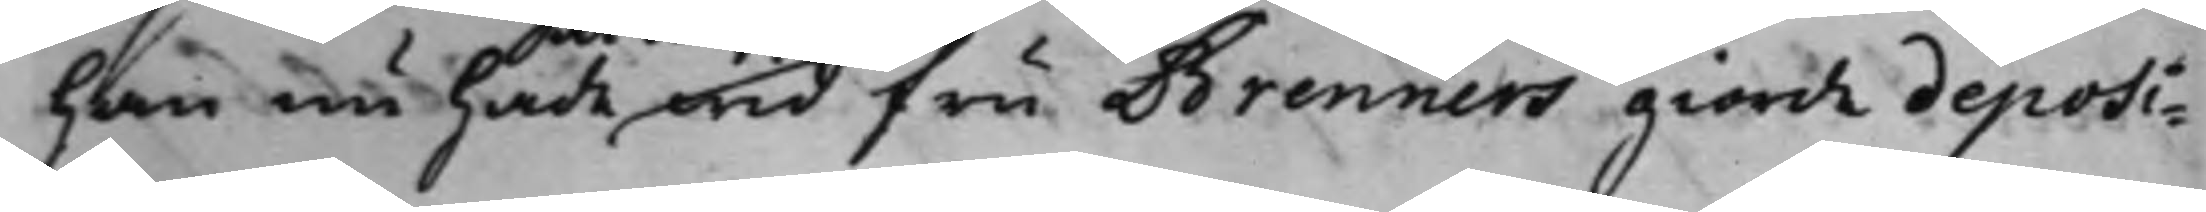han nu hade wid fru Brenners giorde deposi¬
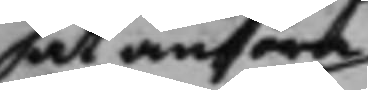at anföra
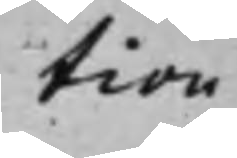tion
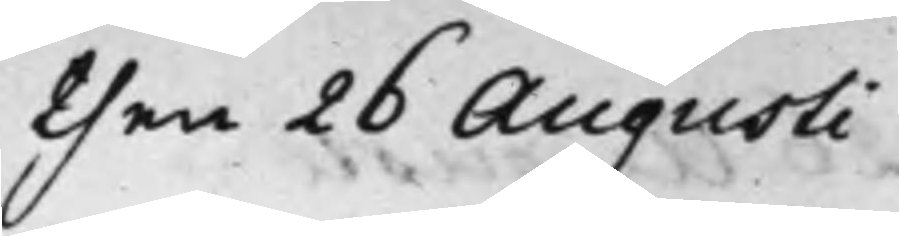then 26 Augusti
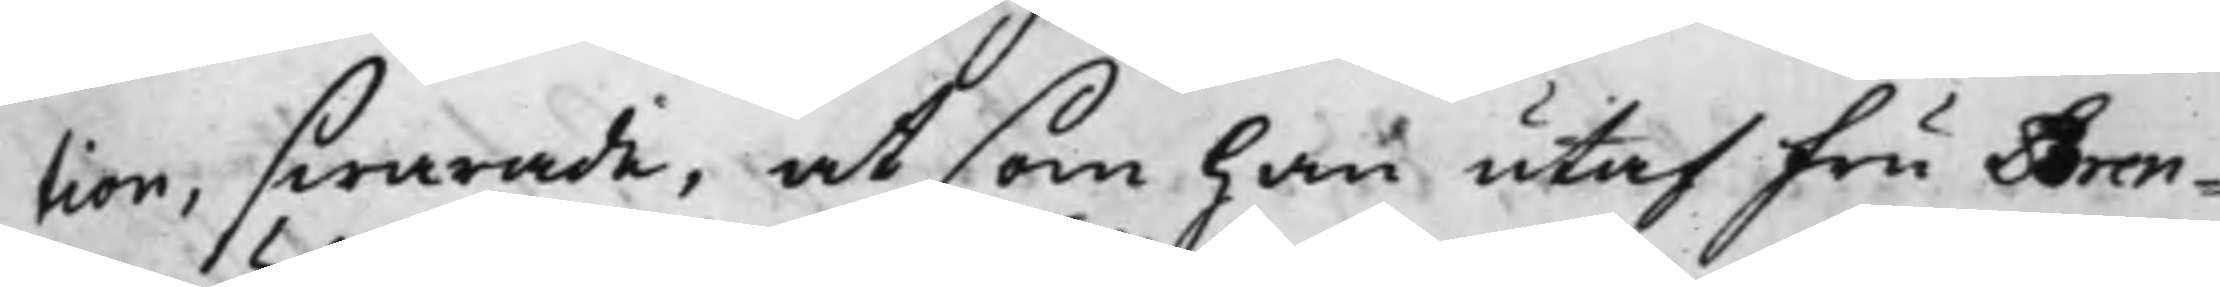tion, swarade, at som han utaf Fru Bren¬
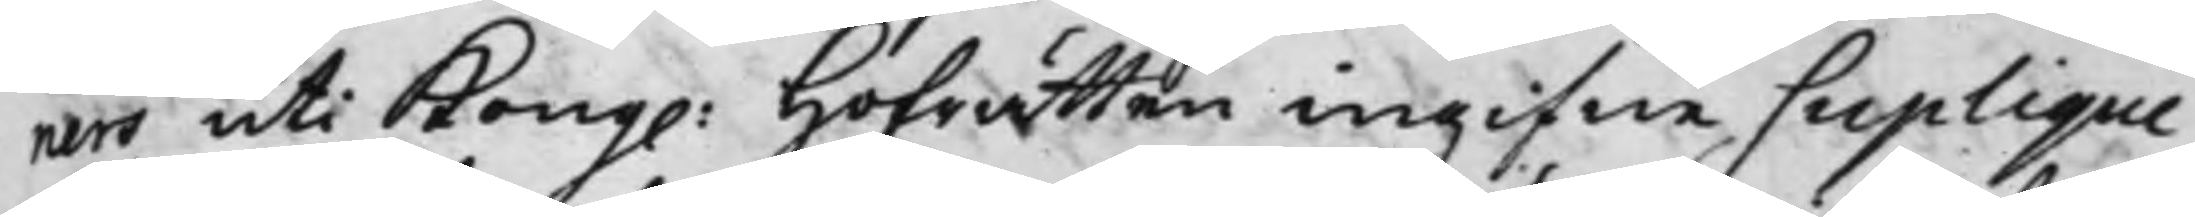ners uti Kong. Hofrätten ingifne Suplique
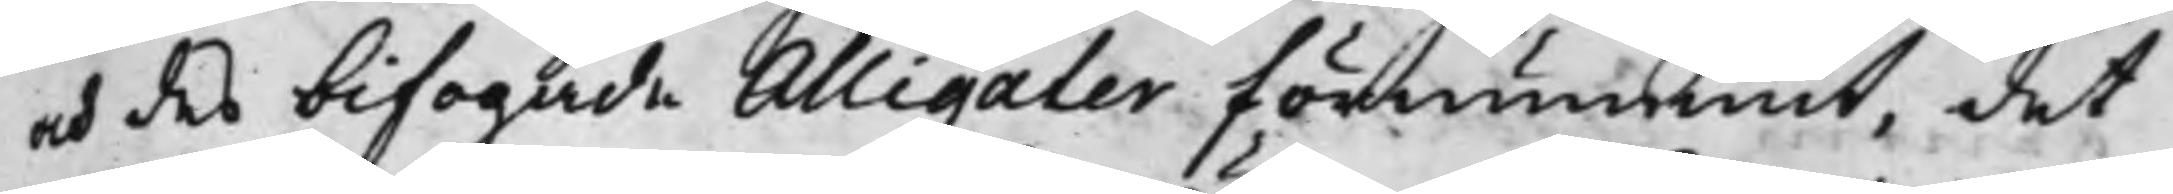och des bifogade Alligater, förnummit, det
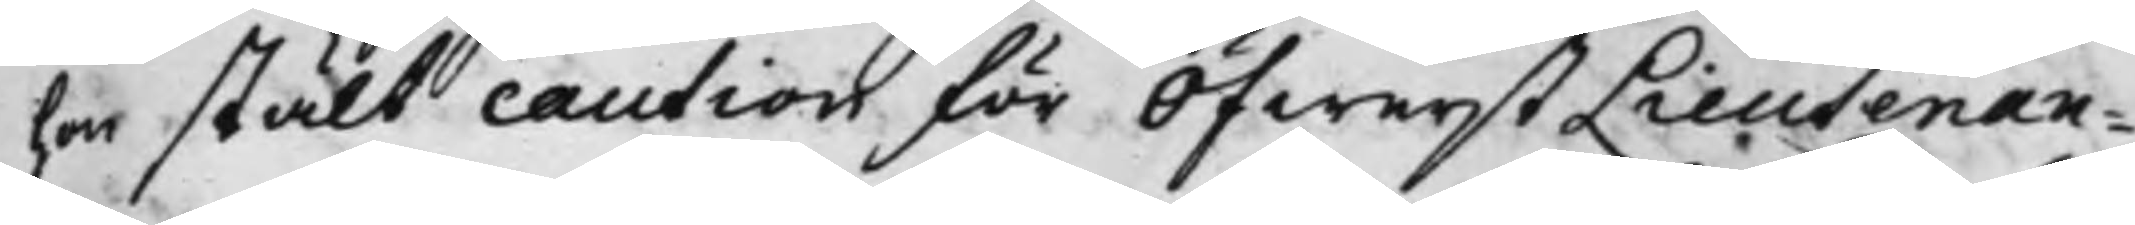hon stält caution för ÖfwerstLieutenan¬
